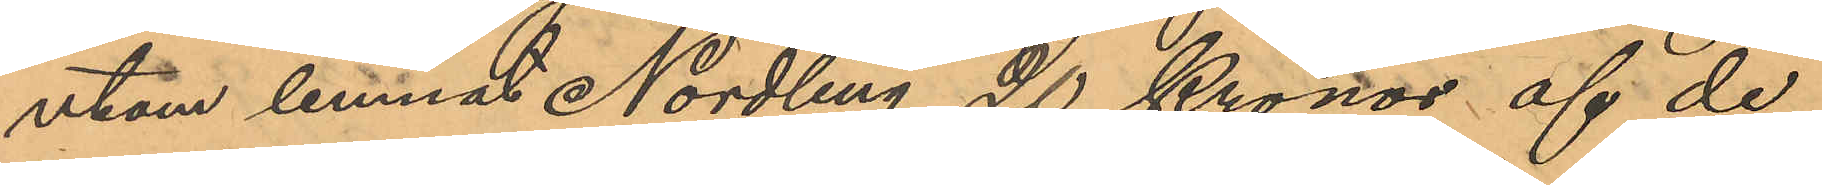utom lemnat Nordling 20 Kronor af de
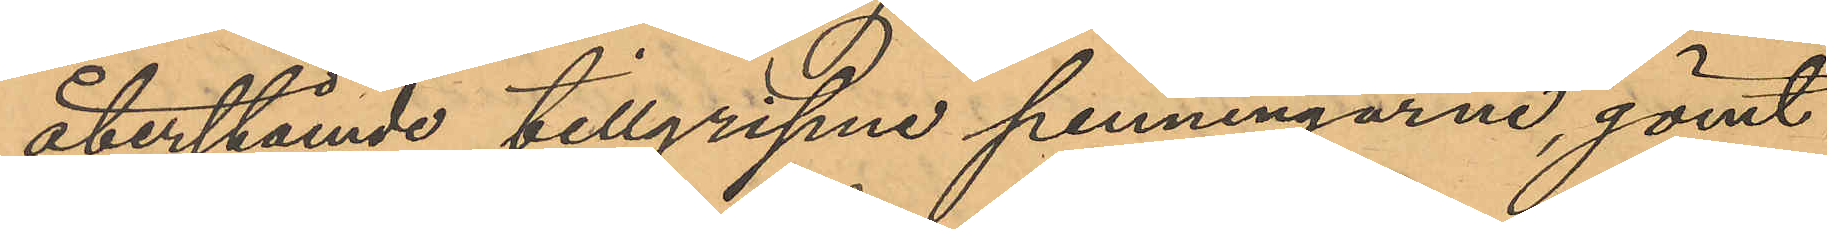återstånde tillgripne penningarne, gömt
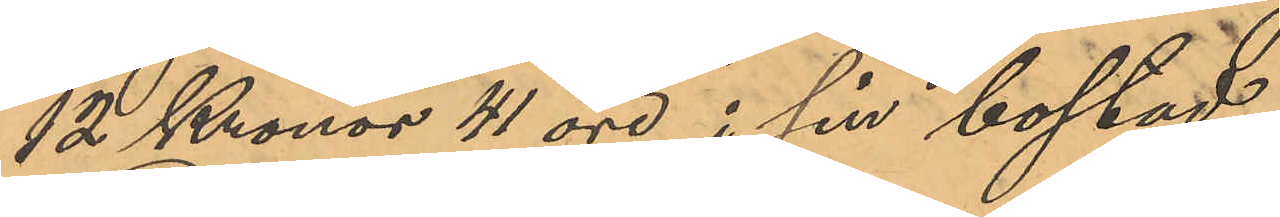12 Kronor 41 öre i sin bostad.
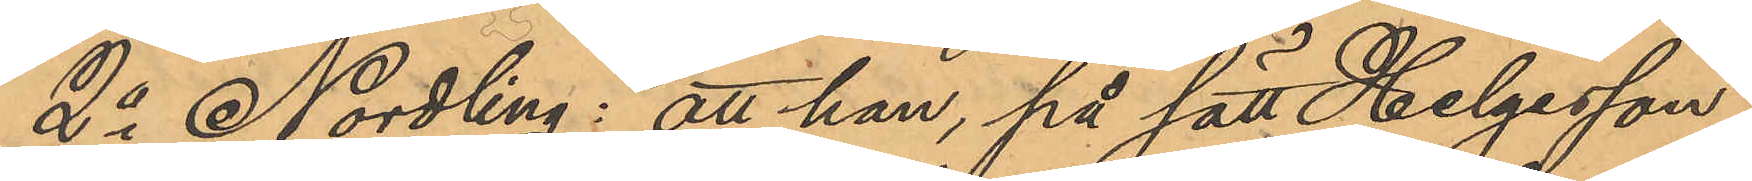2o Nordling: att han, på sätt Helgesson
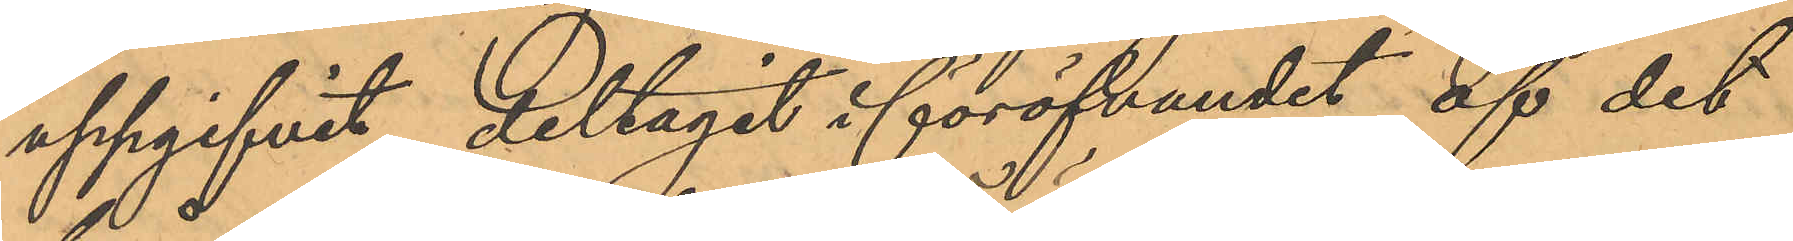uppgifvit, deltagit i föröfvandet af det
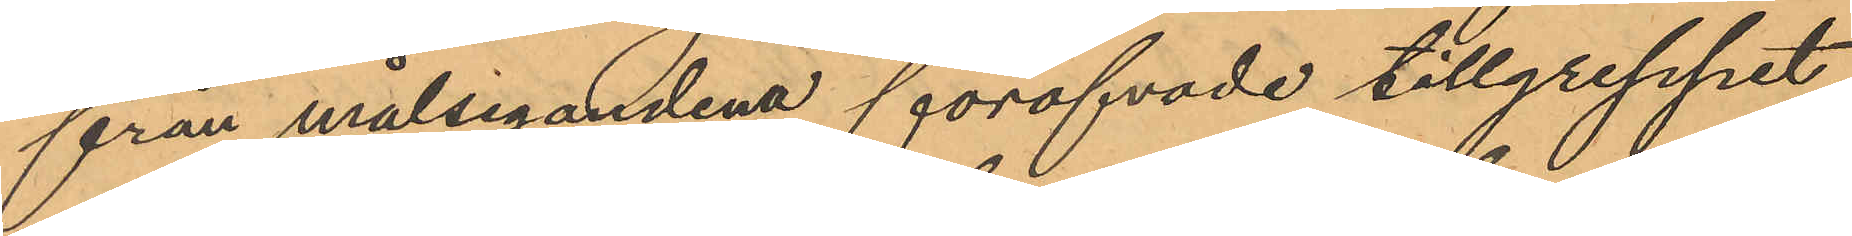från målsegandena föröfvade tillgreppet;
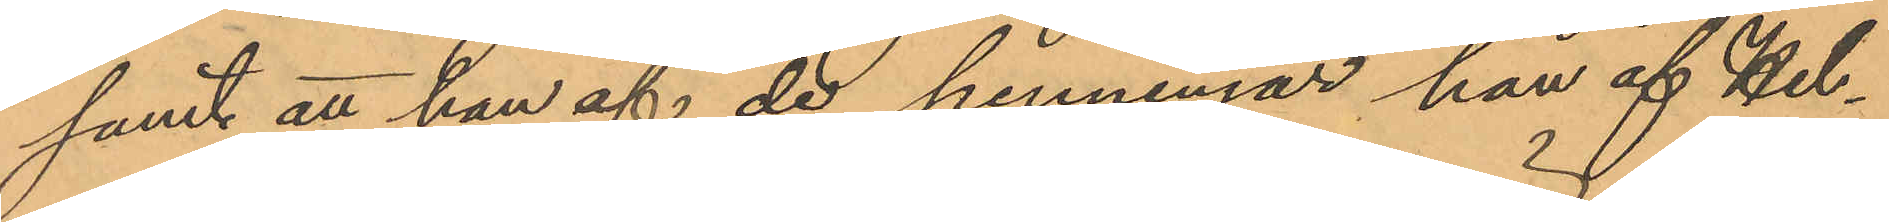samt att han af de penningar han af Hel¬
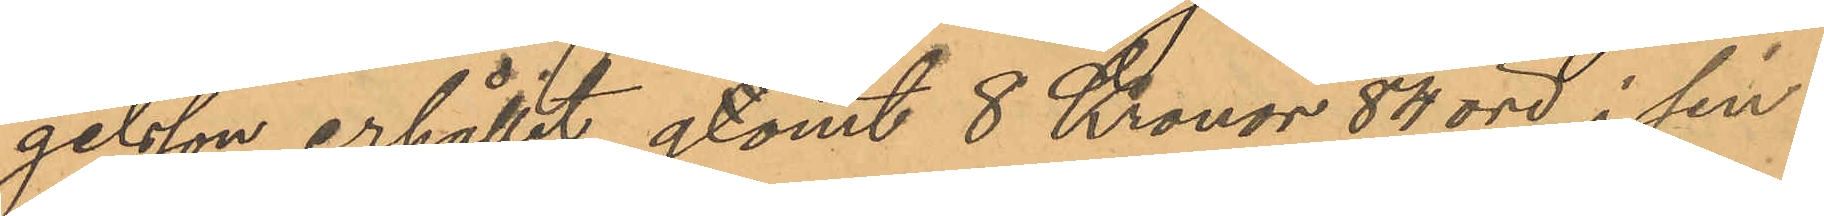gelsson erhållit, gtömt 8 Kronor 84 öre i sin
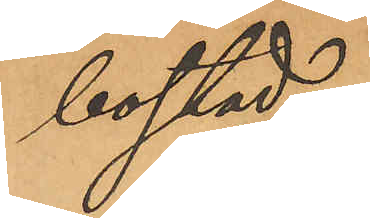bostad.
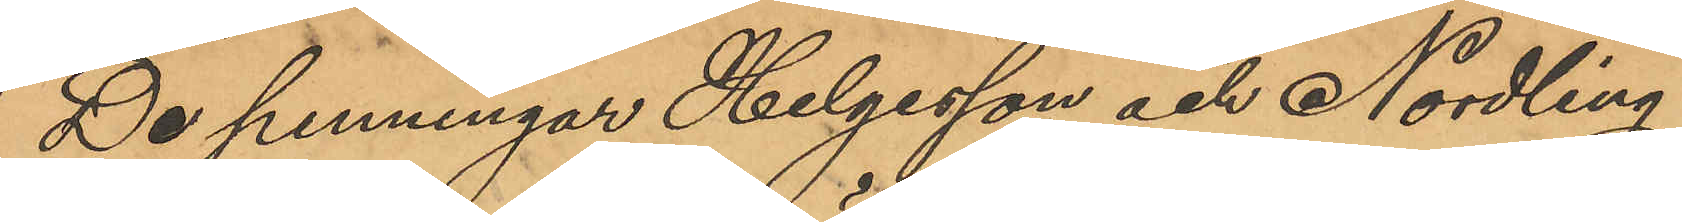De penningar Helgesson och Nordling
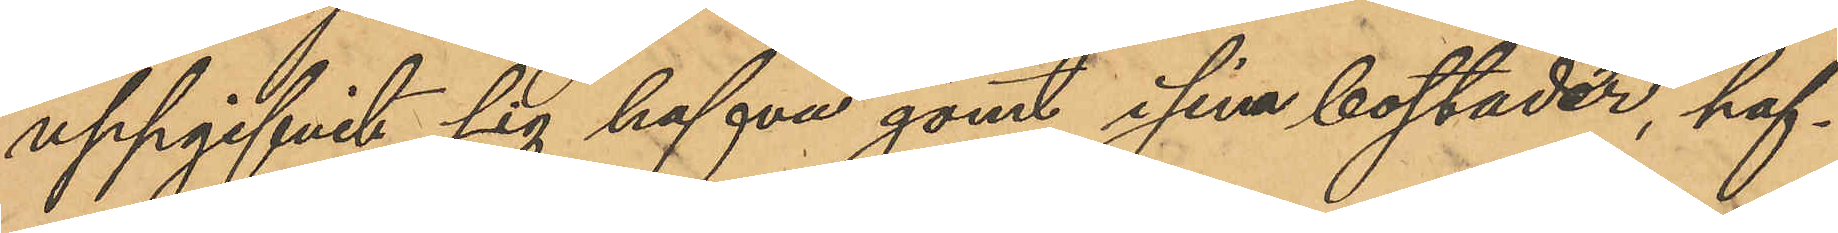uppgifvit sig hafva gömt i sina bostader, haf¬
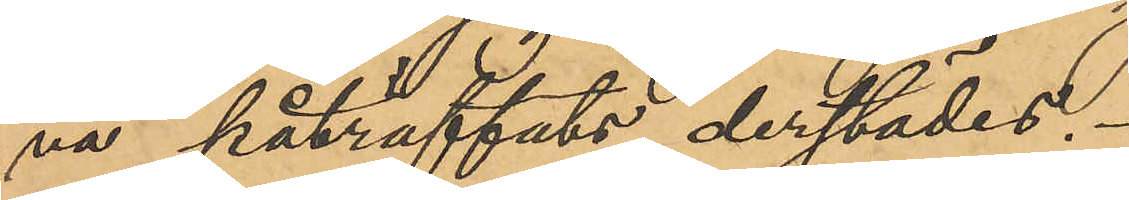va påträffats derstädes.
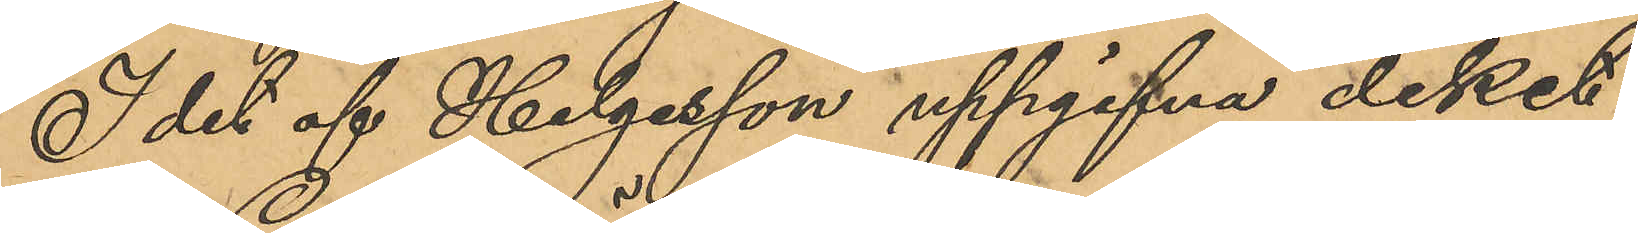I det af Helgesson uppgifna diket
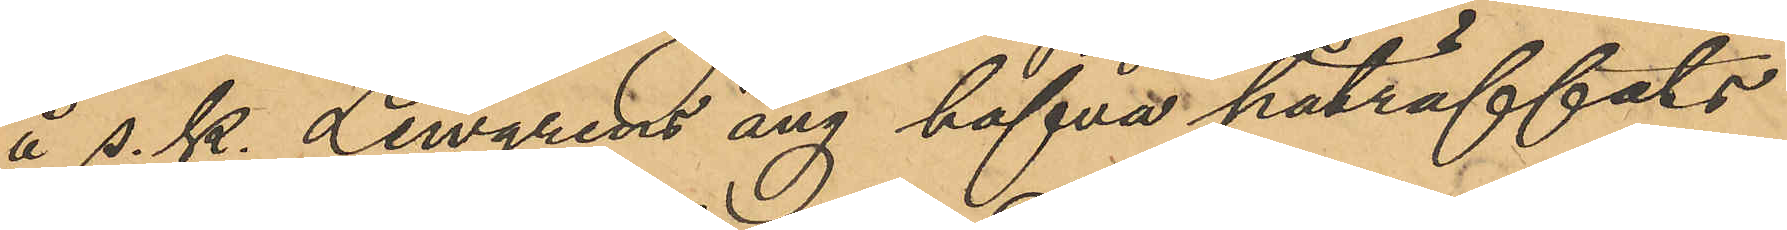å s. k. Lewgrens äng hafva påträffats
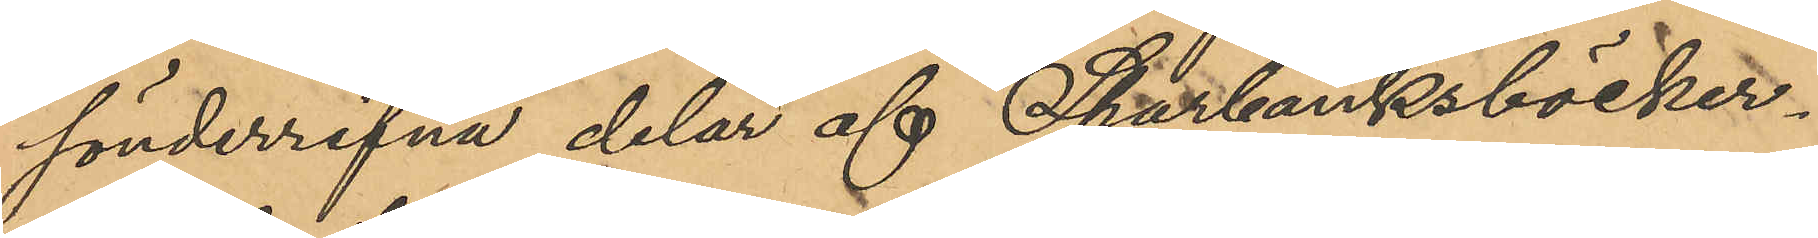sönderrifna delar af Sparbanksböcker¬
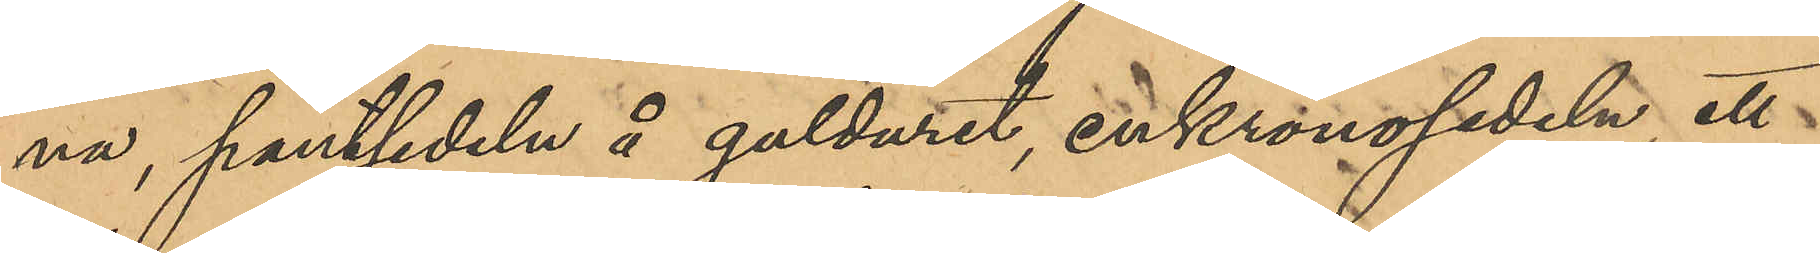na, pantsedeln å gulduret, enkronosedeln, ett
